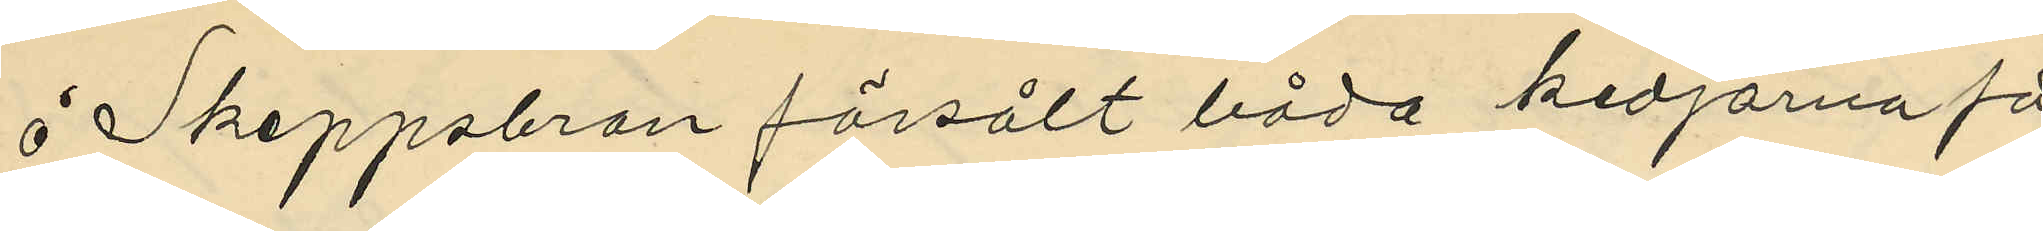å Skeppsbron försålt båda kedjorna för
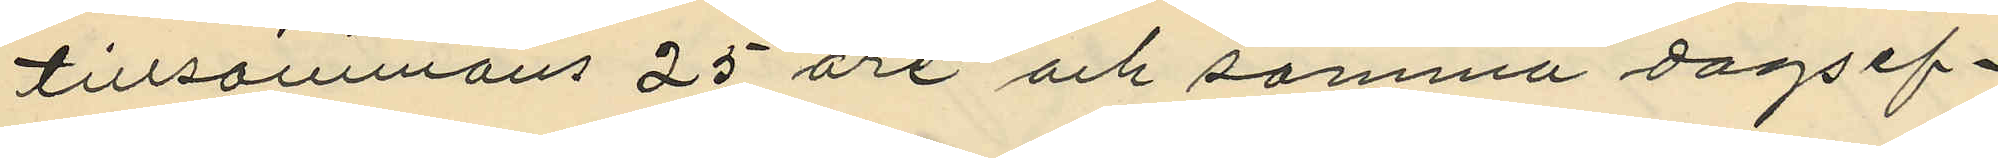tillsammans 25 öre och samma dagsef¬
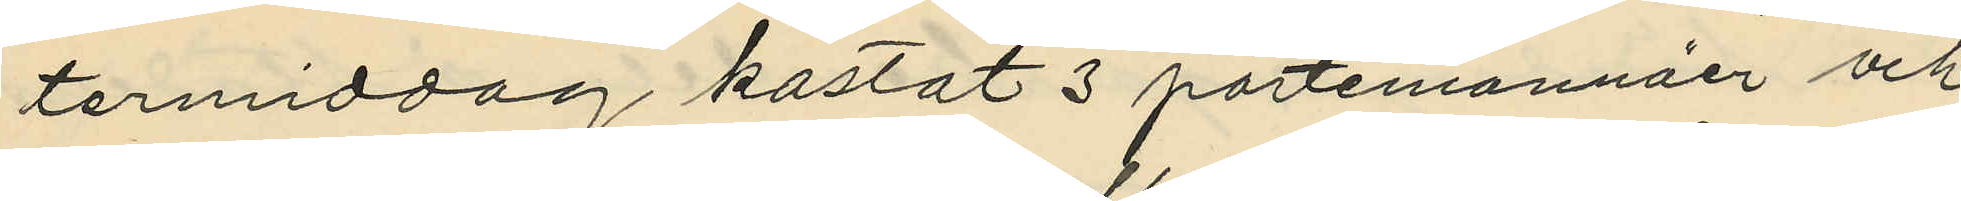termiddag kastat 3 portemonnäer och
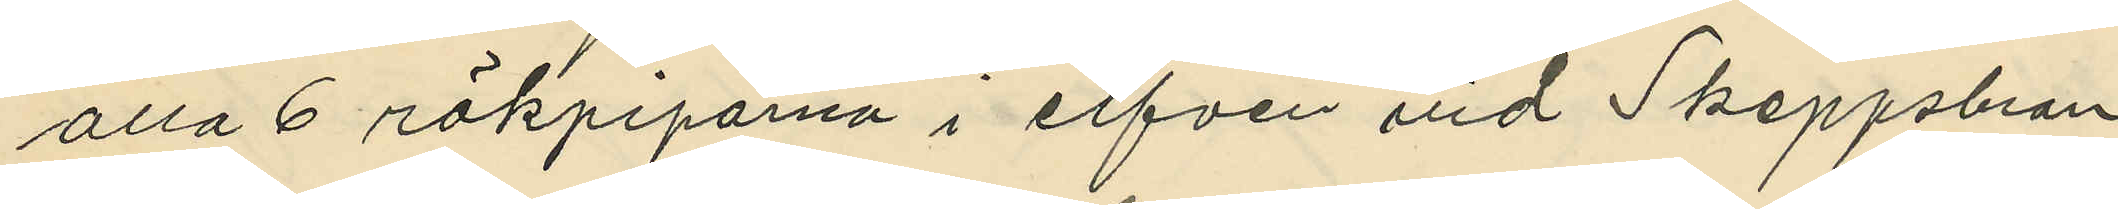alla 6 rökpiporna i elfven vid Skeppsbron
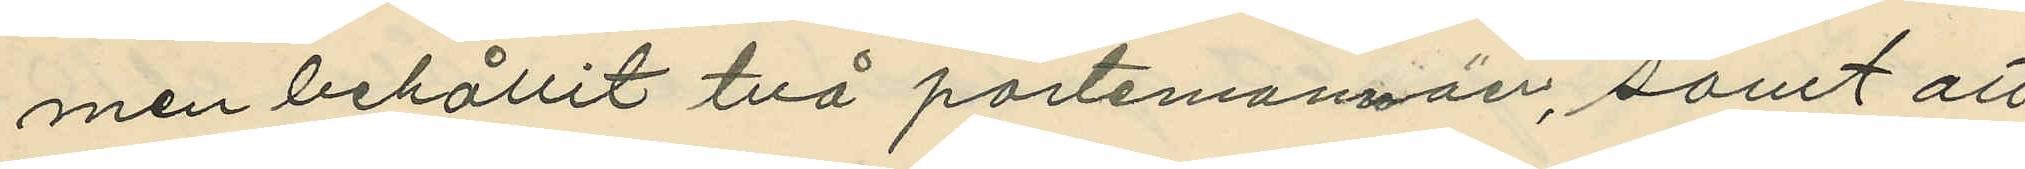men behållit två portemonnäer, samt att
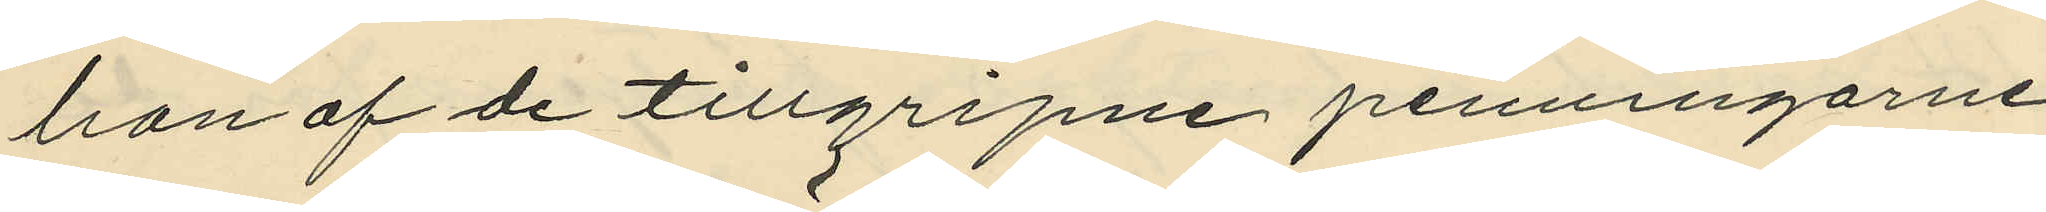han af de tillgripne penningarne
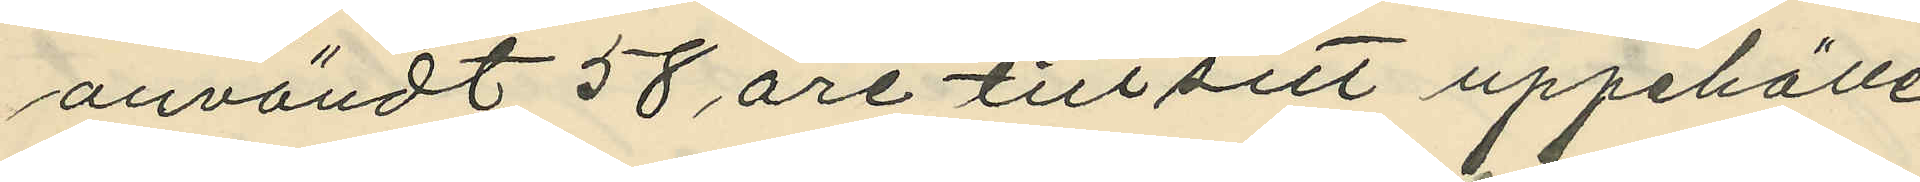användt 58 öre till sitt uppehälle
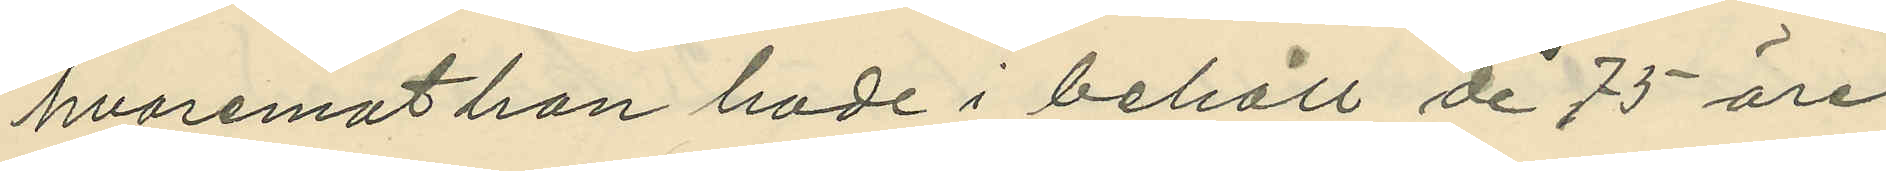hvaremot han hade i behåll de 75 öre
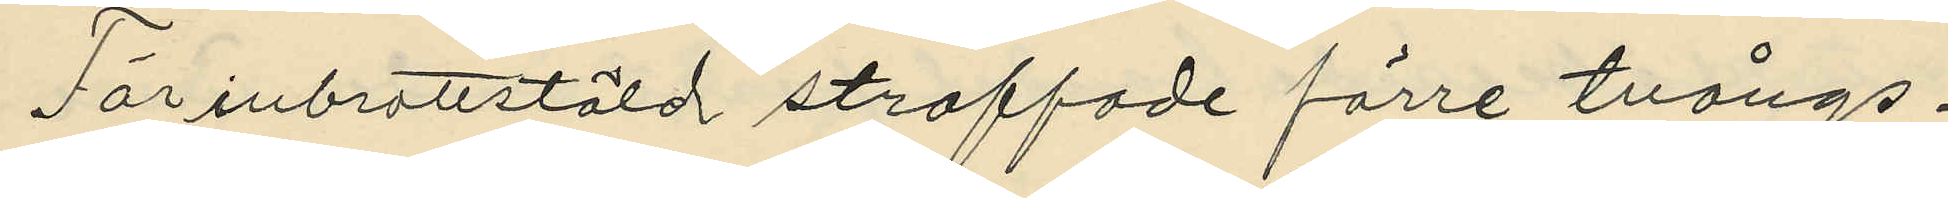För inbrottstöld straffade förre tvångs¬
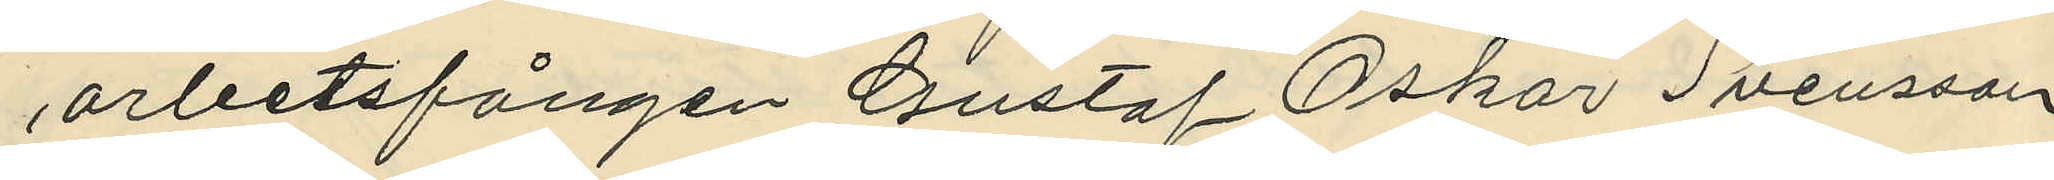arbetsfången Gustaf Oskar Svensson,
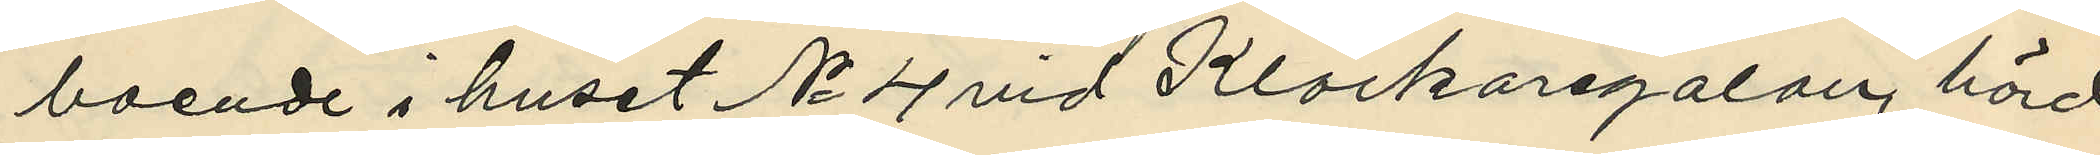boende i huset No 4 vid Klockaregalan, hörd
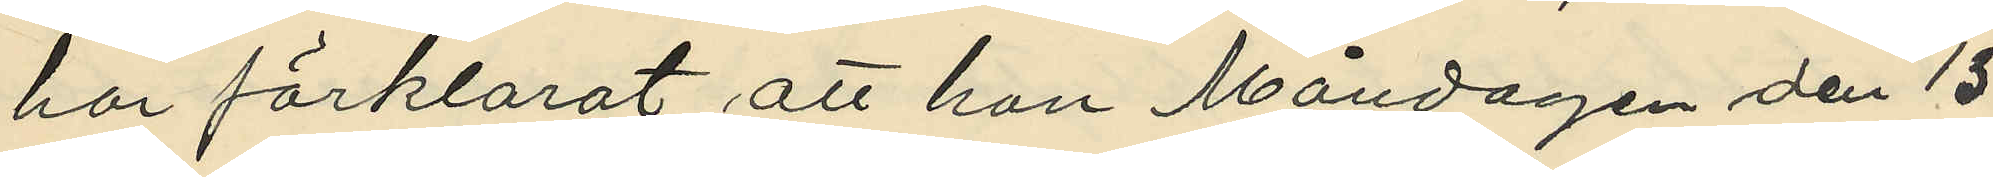har förklarat att han Måndagen den 13
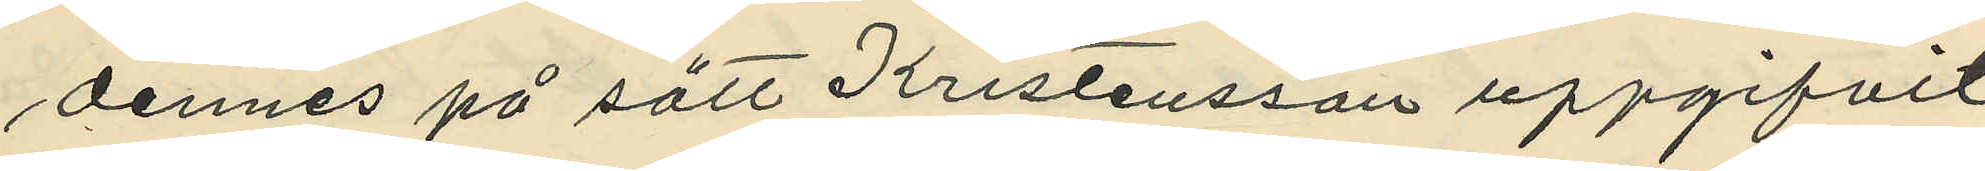dennes på sätt Kristensson uppgifvit
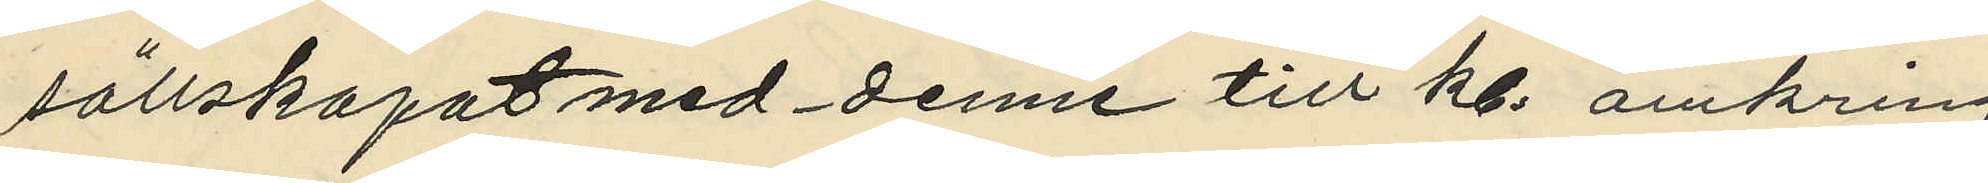sällskapat med denne till kl. omkring
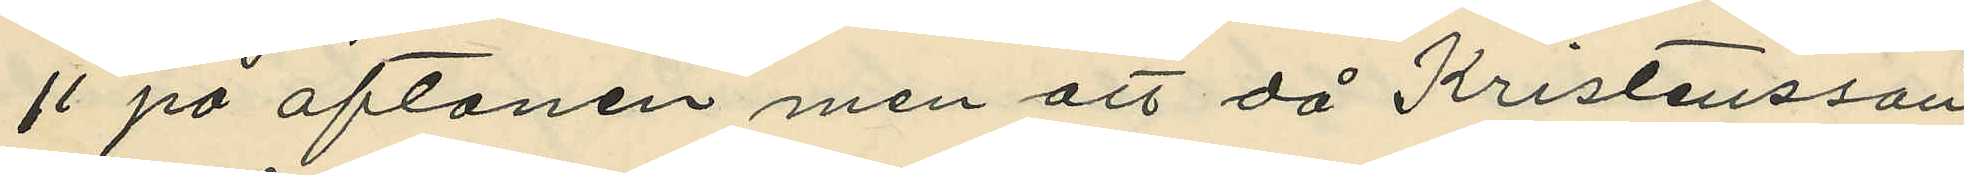11 på aftonen men att då Kristensson
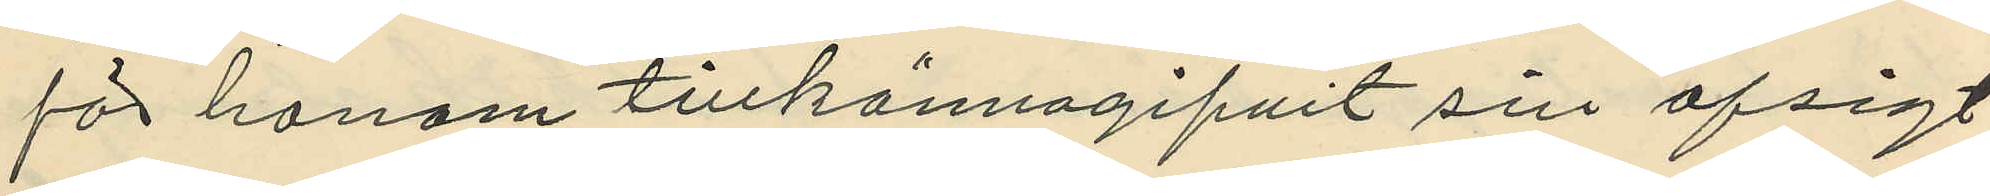för honom tillkännagifvit sin afsigt
